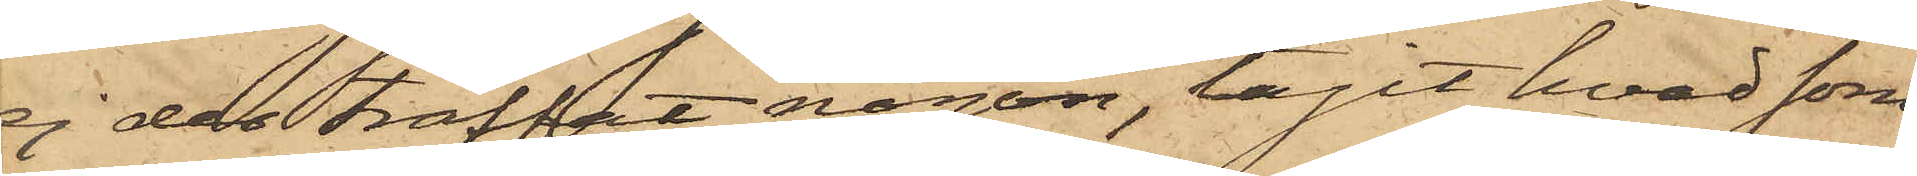ej der träffat någon, tagit hvad som
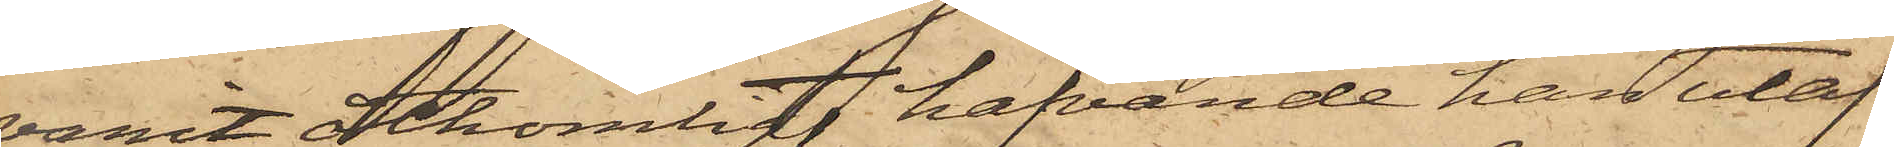varit åtkomligt, hafvande han utaf
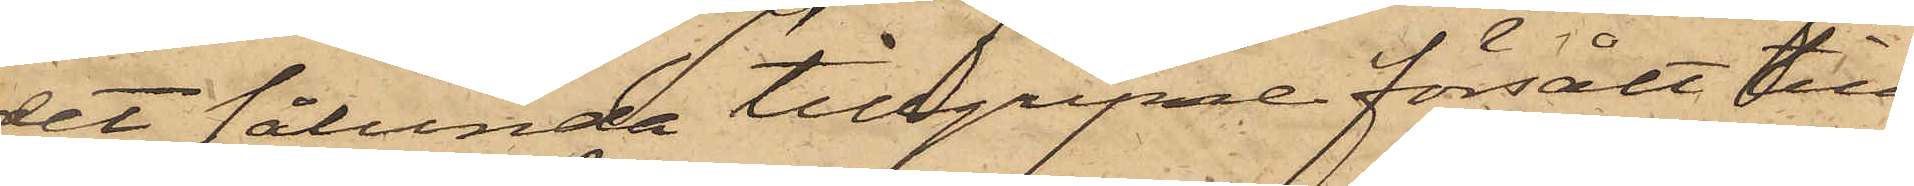det sålunda tillgripne försålt till
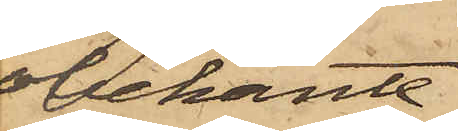obekante
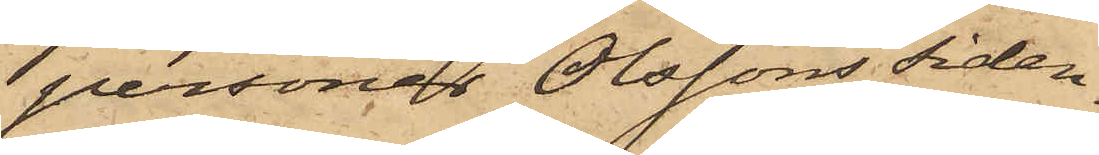personer Olssons siden¬
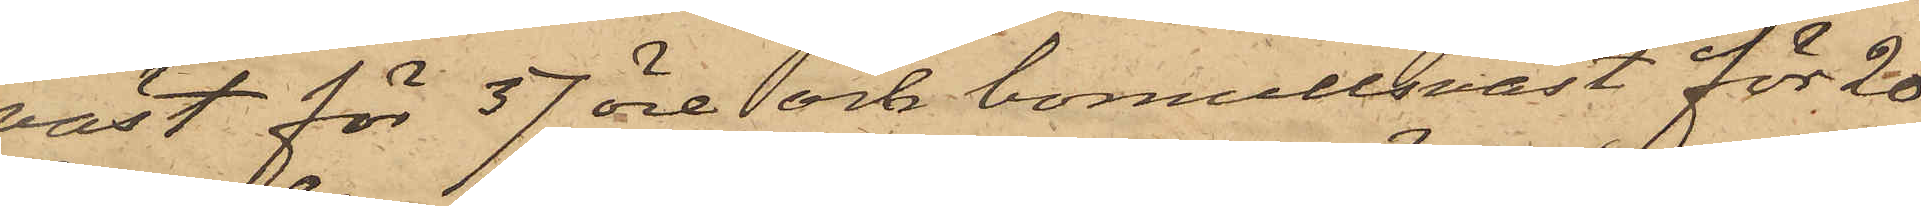väst för 37 öre och bomullsväst för 20
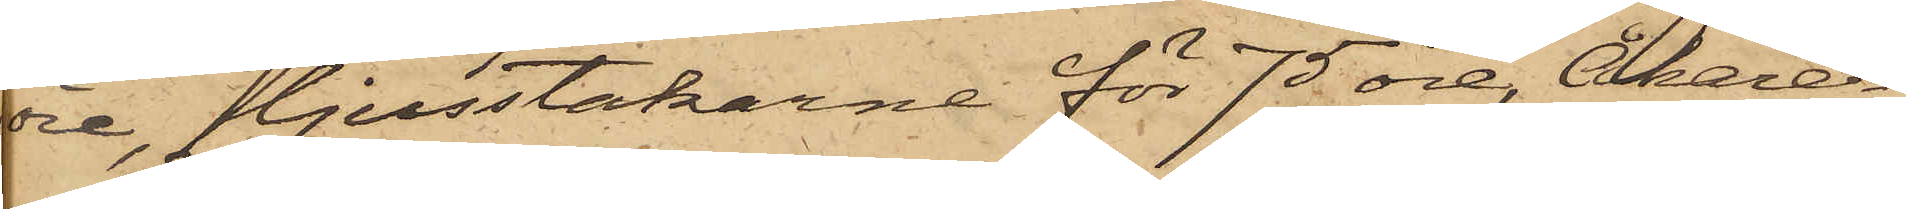öre, ljusstakarne för 75 öre, Åkare¬
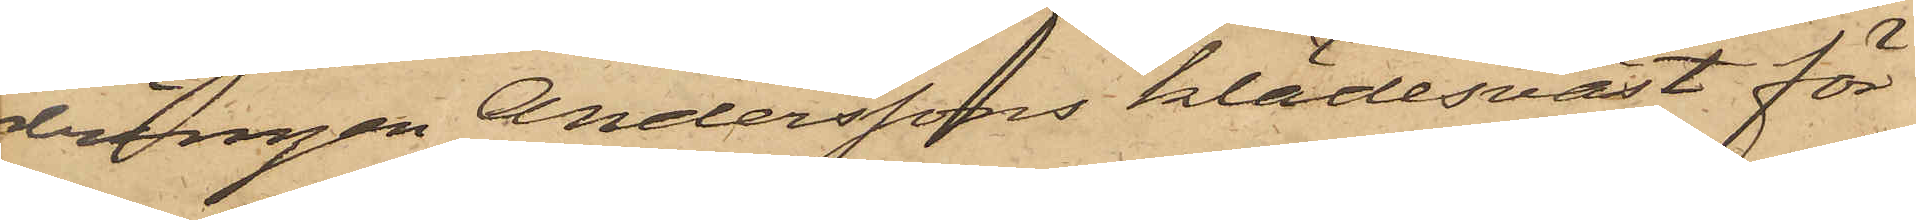drängen Anderssons klädesväst för
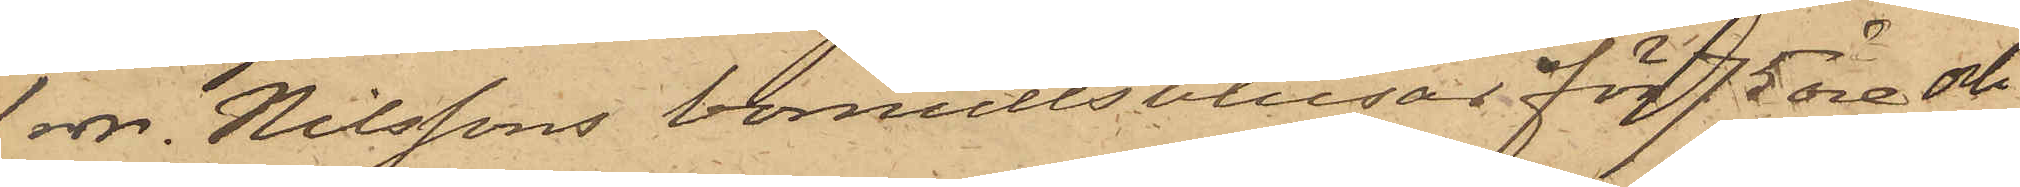1 rdr. Nilssons bomullsblusar för 75 öre och
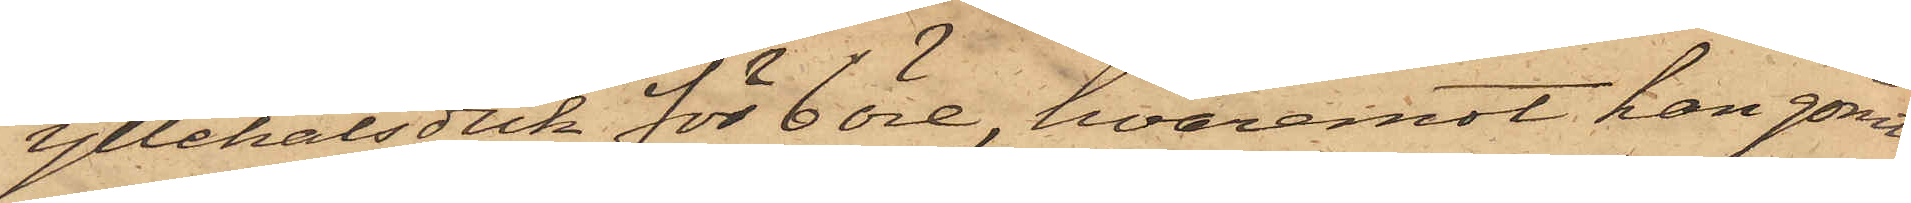yllehalsduk för 6 öre, hvaremot han gömt
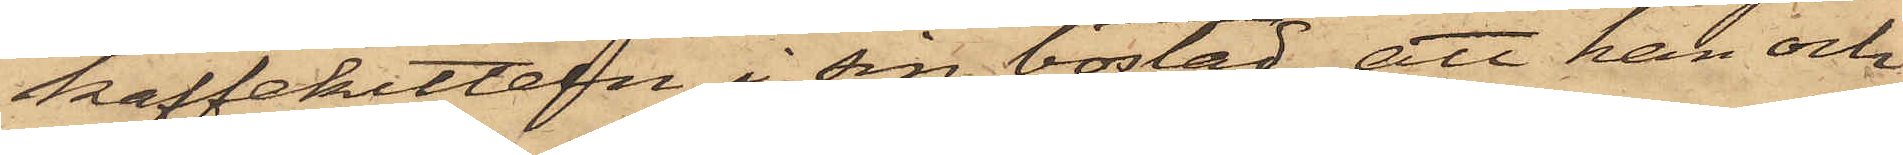kaffekitteln i sin bostad; att han och
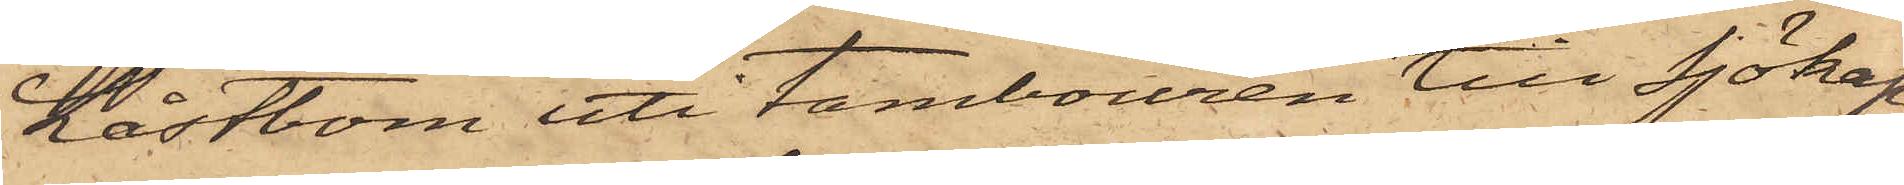Låstbom uti tambouren till Sjökap¬
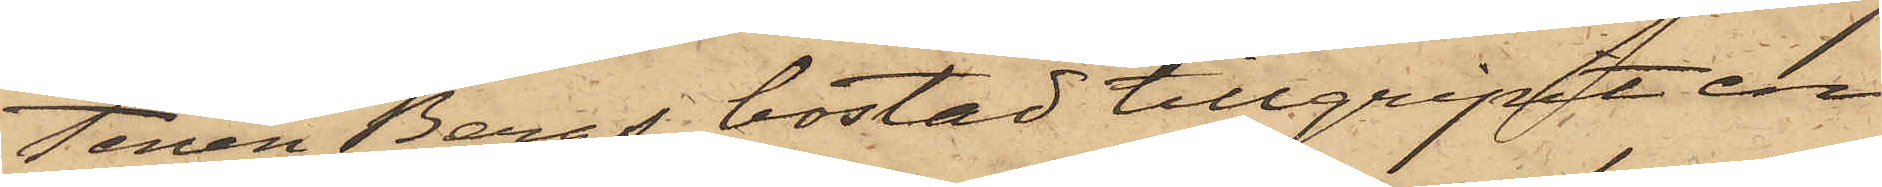tenen Bergs bostad tillgripit en
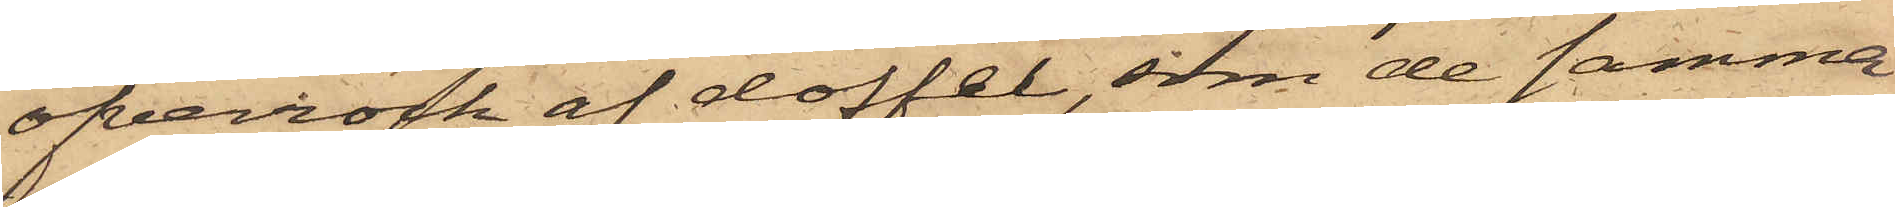öfverrock af doffel, som de samma
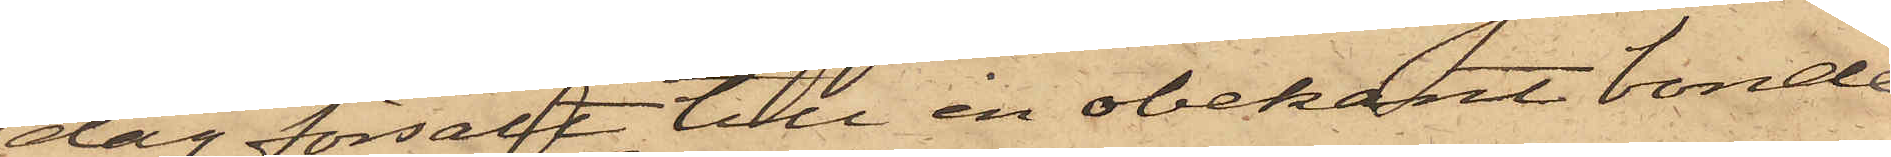dag försålt till en obekant bonde
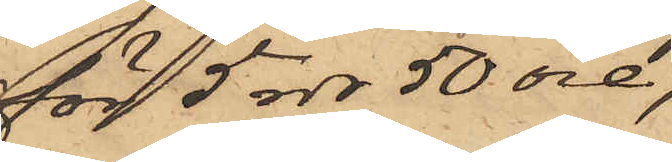för 5 rdr 50 öre;
